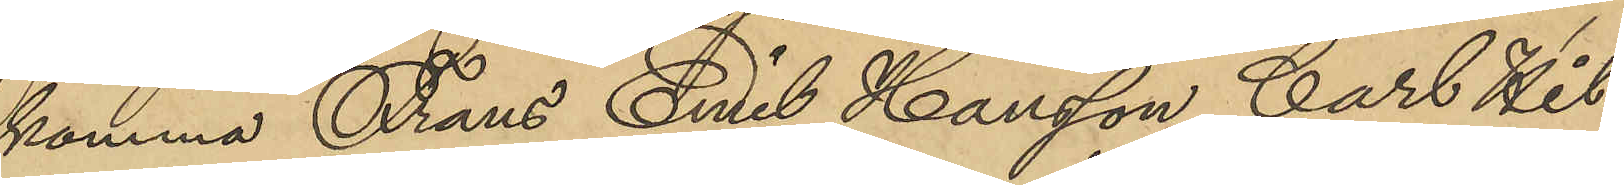komma Frans Emil Hansson, Carl Hil¬
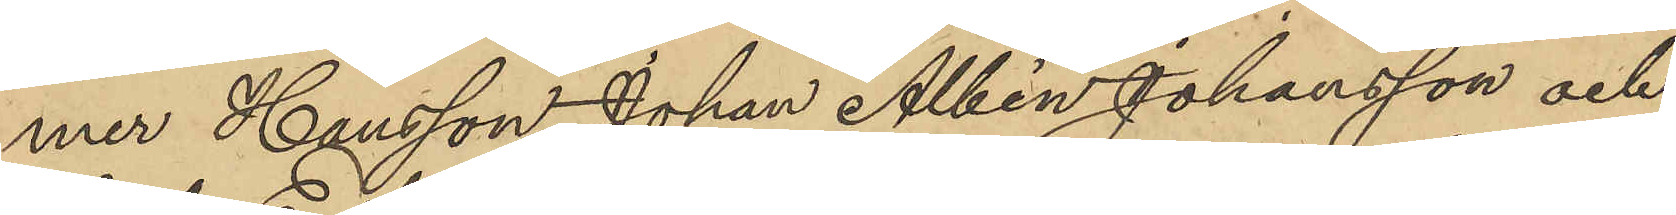mer Hansson, Johan Albin Johansson och
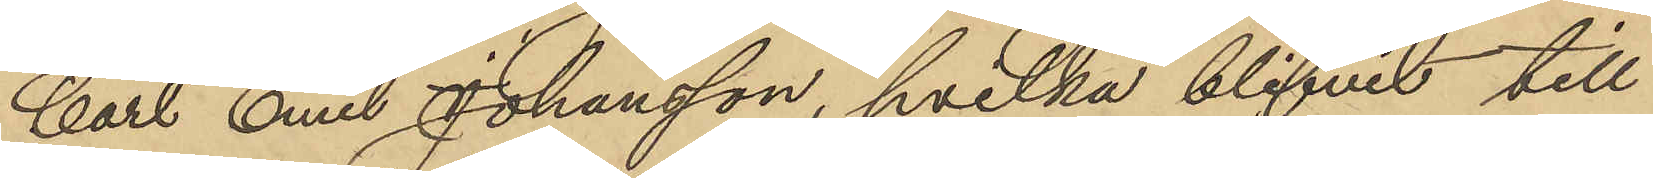Carl Emil Johansson, hvilka blifvit till
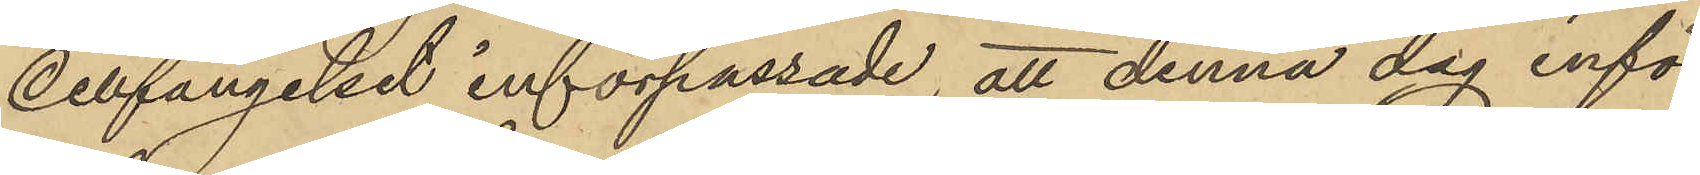cellfängelset införpassade att denna dag inför
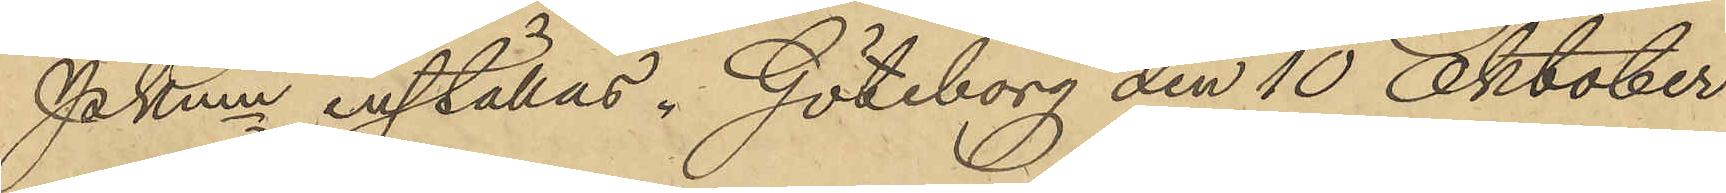Pkmn inställas. Göteborg den 10 Oktober
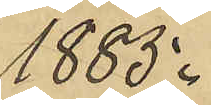1885.
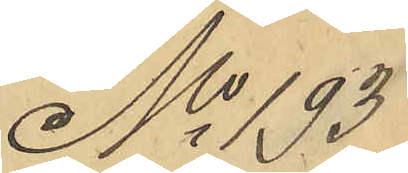No 193
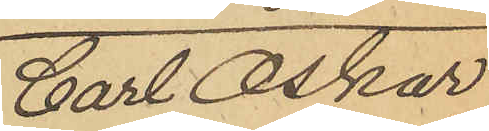Carl Oskar
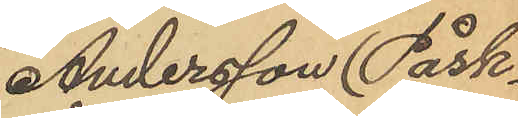Andersson (Påsk-
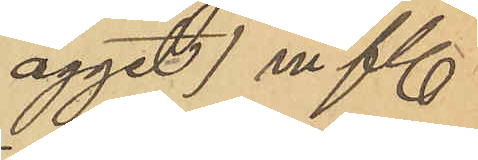ägget) m fl.
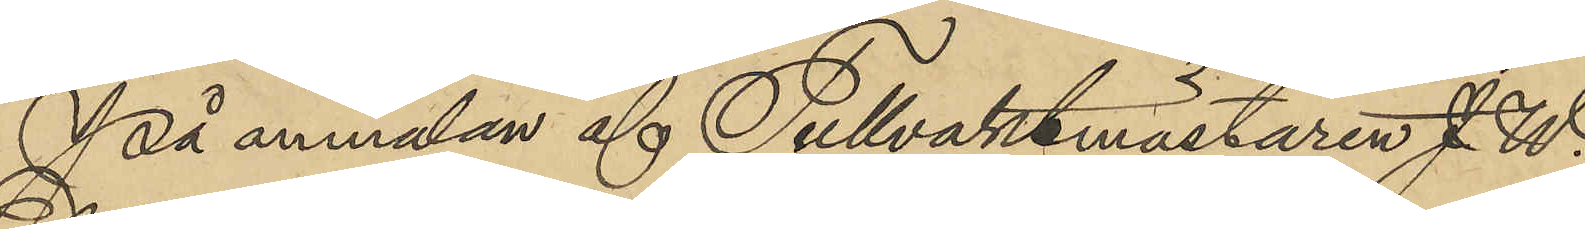På anmälan af Tullvaktmästaren J. W.
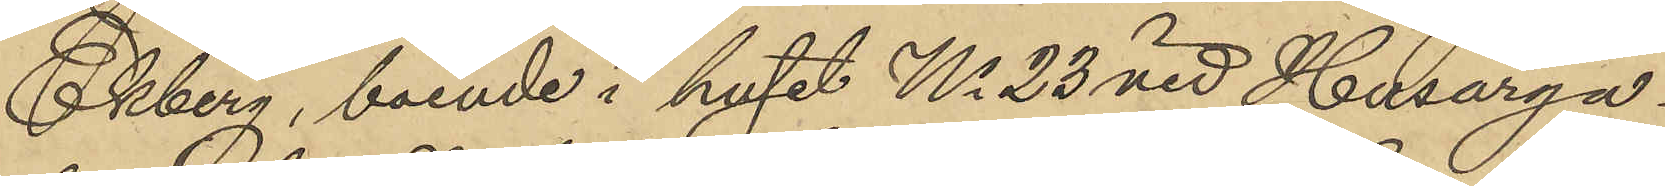Ekberg, boende i huset No 23 vid Husarga¬
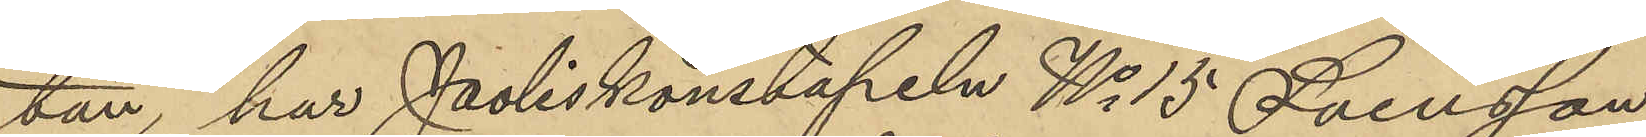tan, har Poliskonstapeln No 15 Svensson
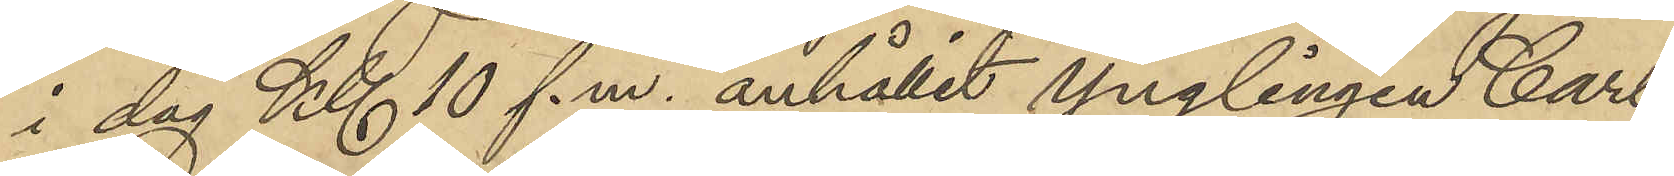i dag Kl 10 f. m. anhållit ynglingen Carl
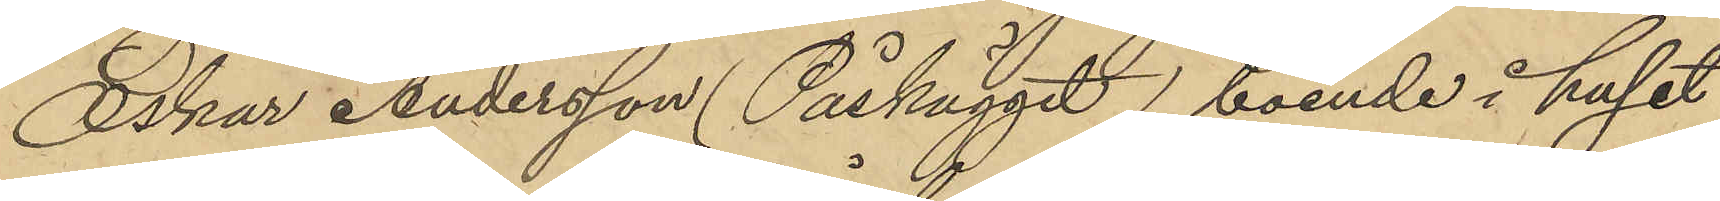Oskar Andersson (Påskägget) boende i huset
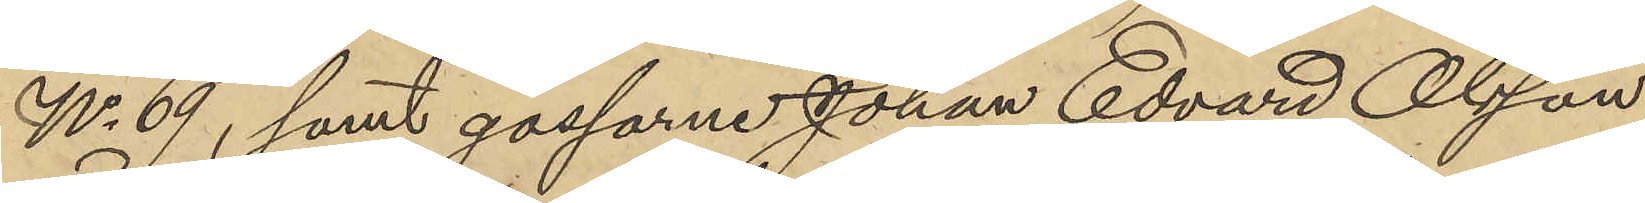No 69, samt gossarne Johan Edvard Olsson
